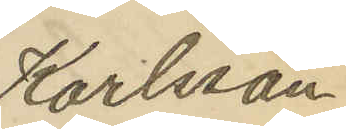Karlsson.
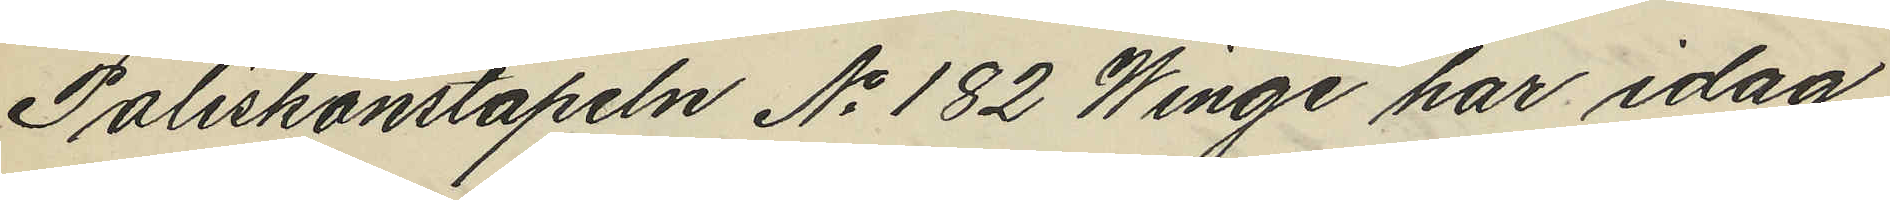Poliskonstapeln No 182 Winge har idag
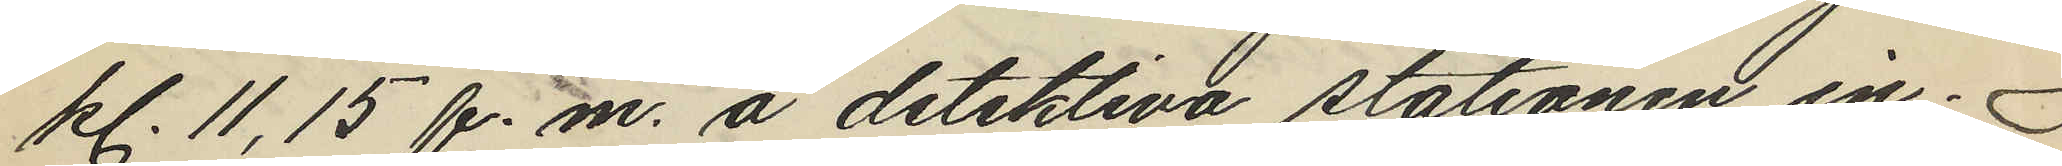kl. 11,15 f.m. å detektiva stationen in¬
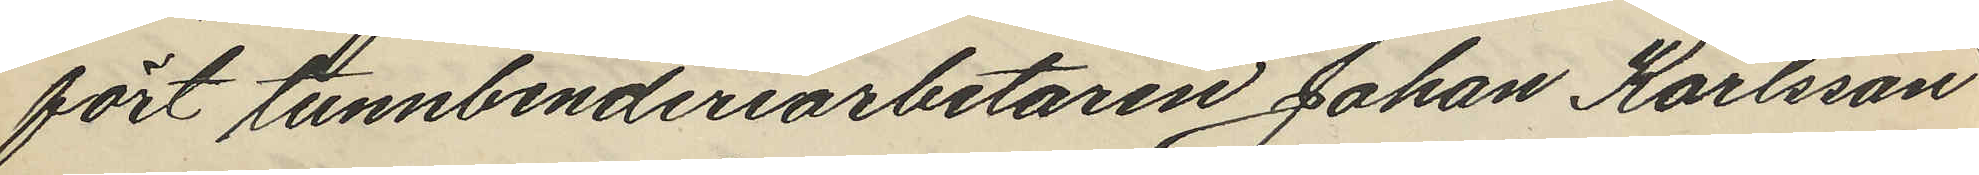fört tunnbinderiarbetaren Johan Karlsson
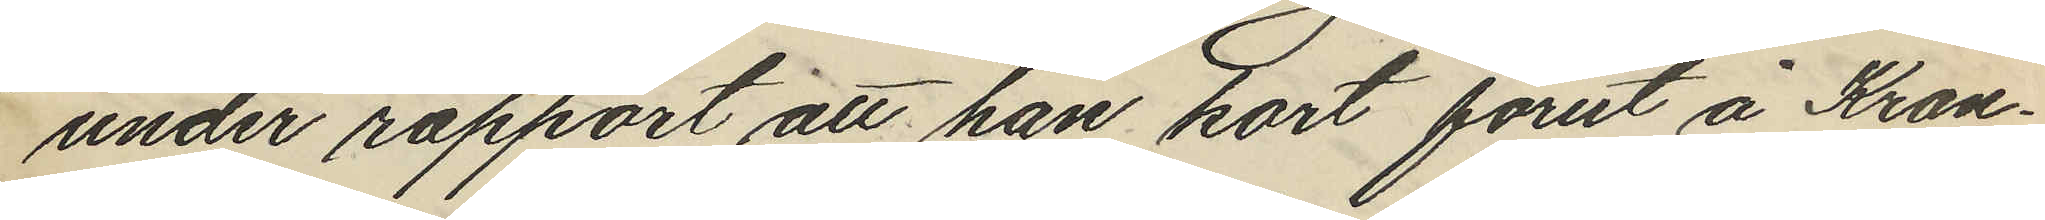under rapport att han kort förut å Kron¬
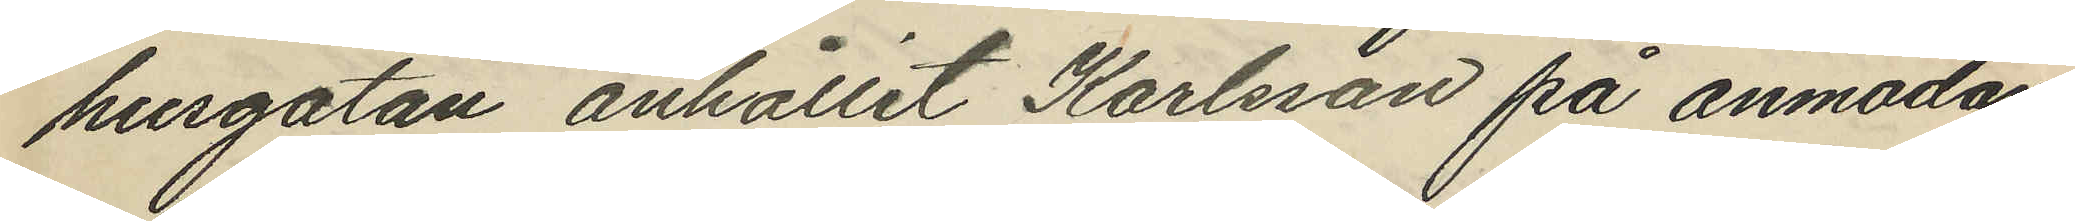husgatan anhållit Karlsson på anmodan
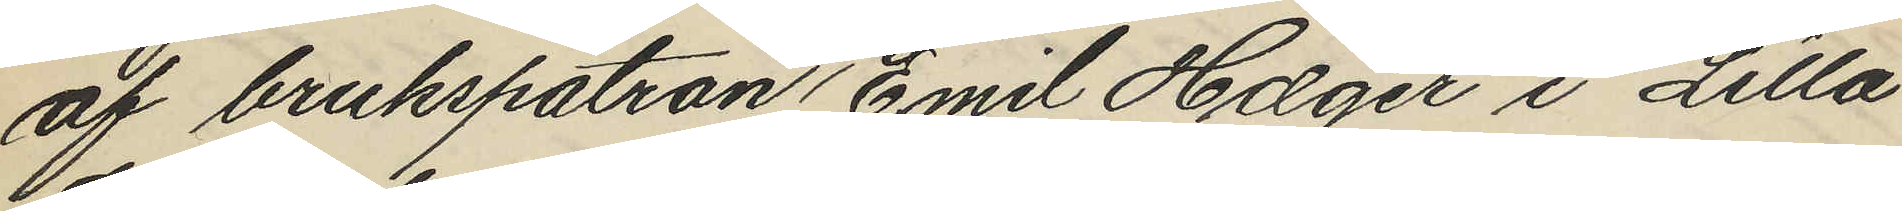af brukspatron Emil Hæger i Lilla
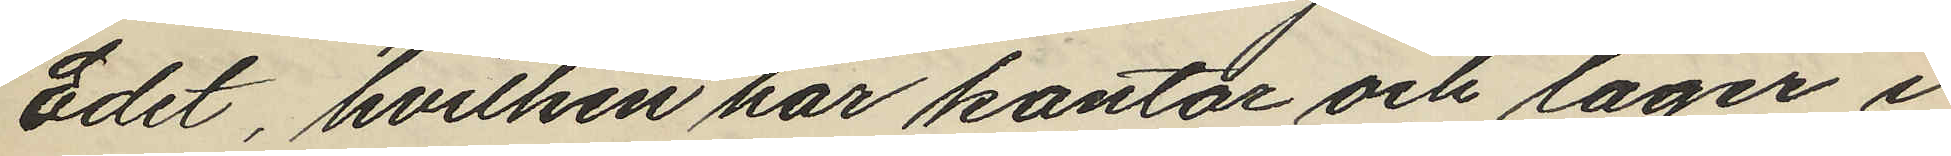Edet, hvilken har kontor och lager i
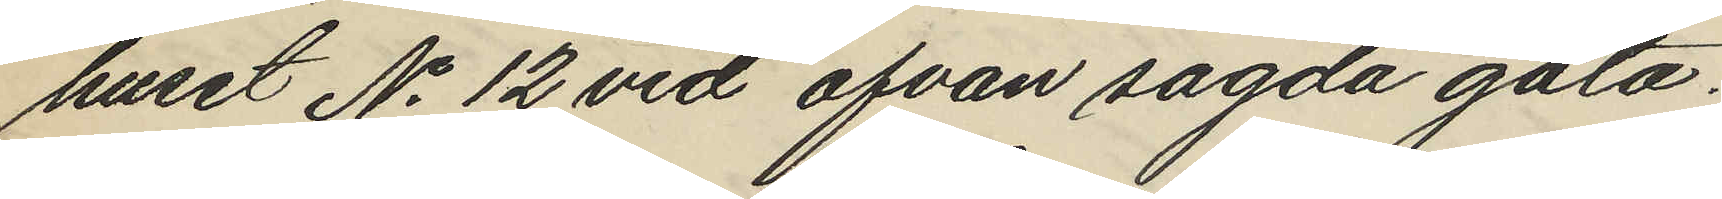huset No 12 vid ofvan sagda gata.
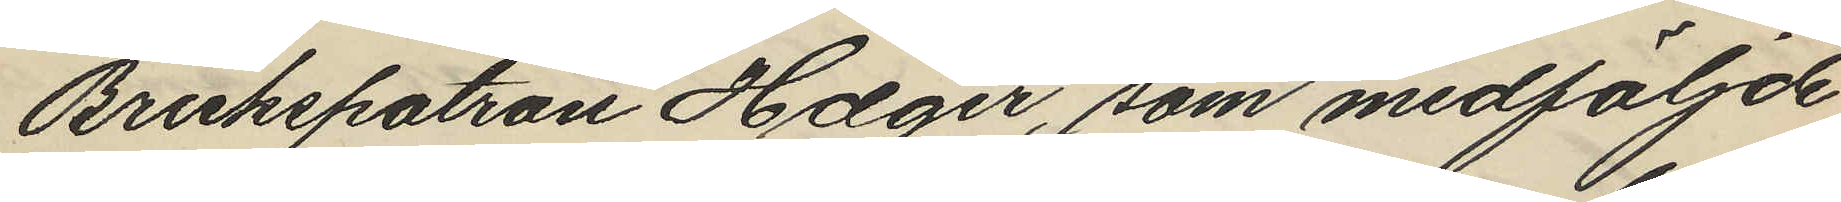Brukspatron Hæger, som medföljde
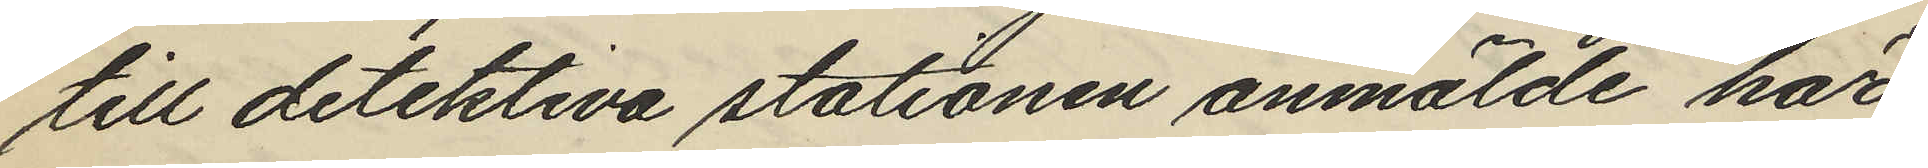till detektiva stationen anmälde här
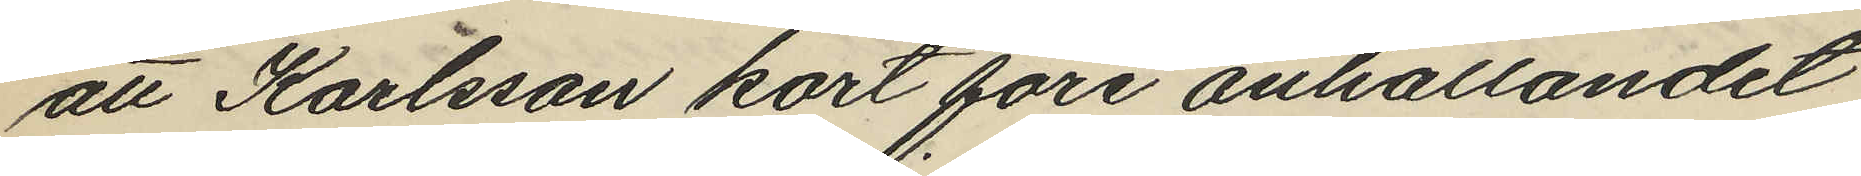att Karlsson kort före anhållandet
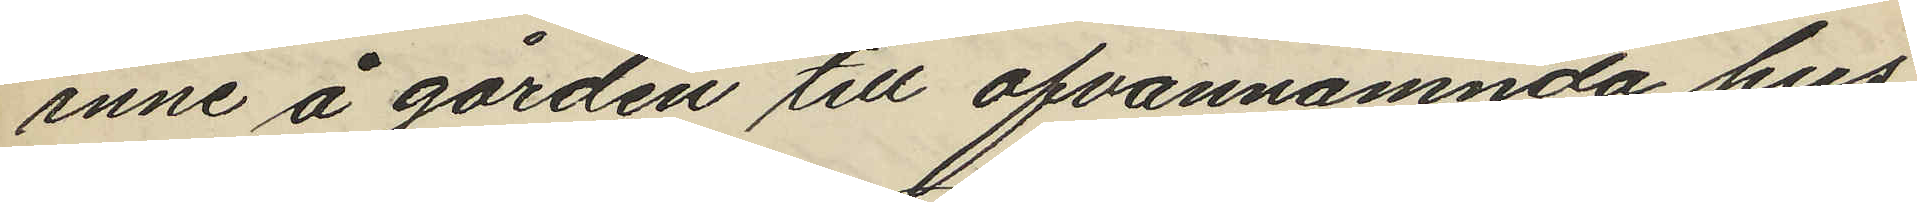inne å gården till ofvannämnda hus
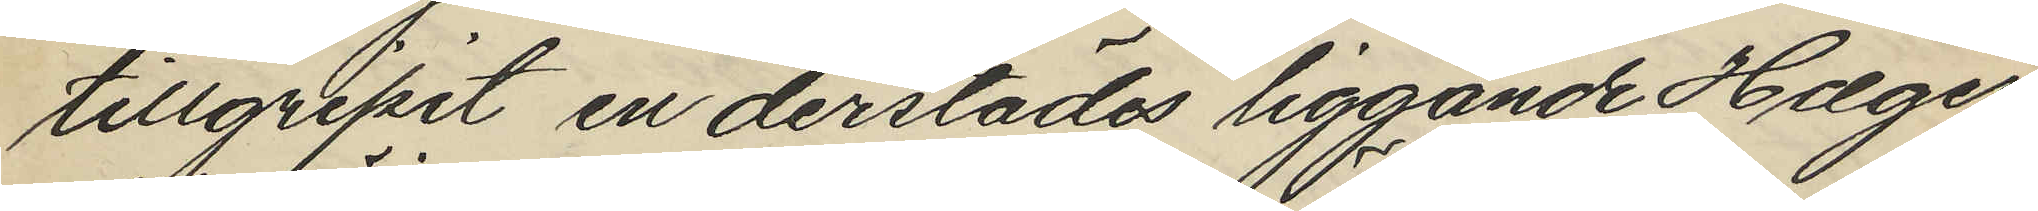tillgripit en derstädes liggande Hæger
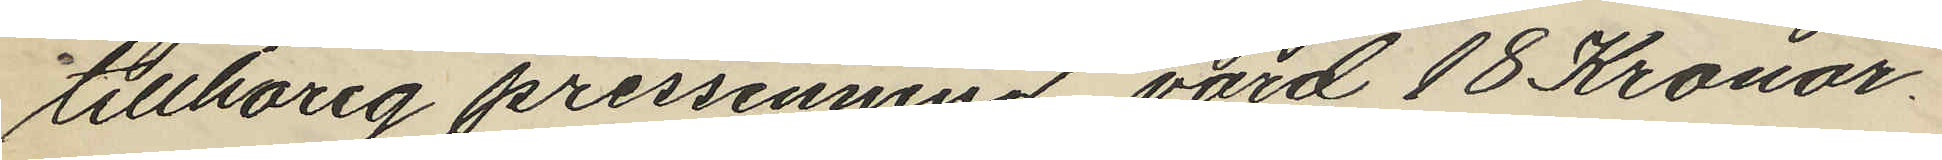tillhörig pressenning, värd 18 Kronor.
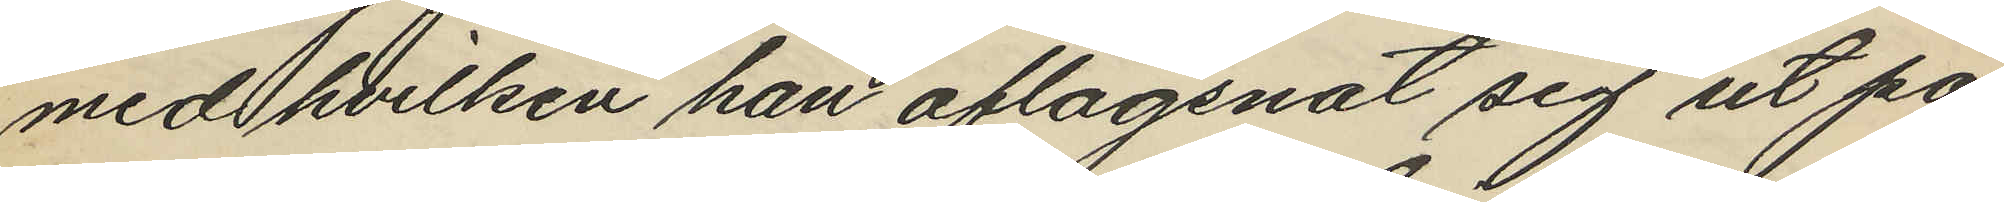med hvilken han aflägsnat sig ut på
